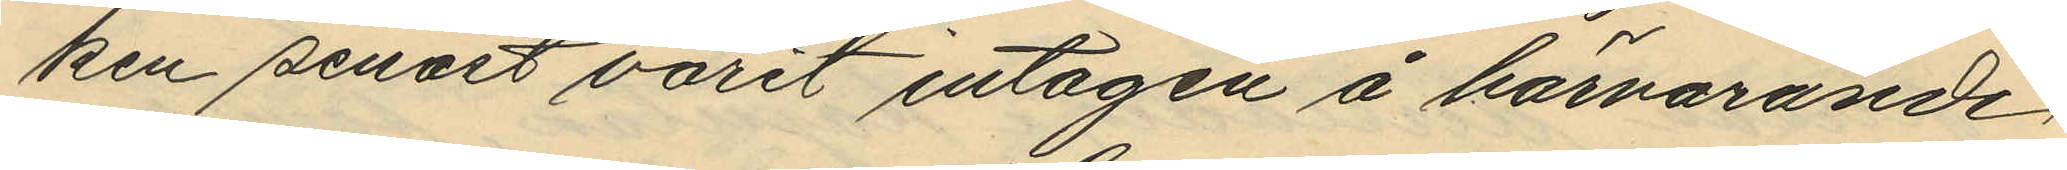ken senast varit intagen å härvarande
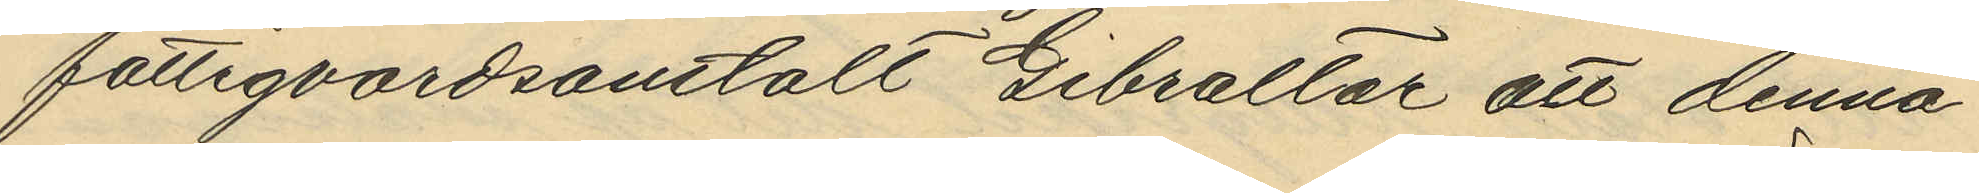fattigvårdsanstalt Gibraltar att denna
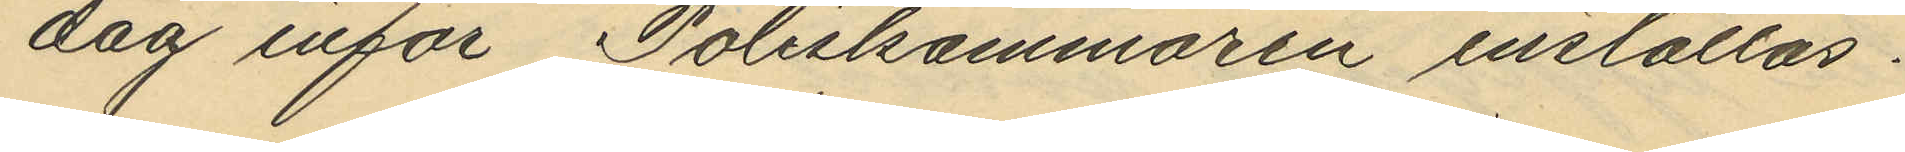dag inför Poliskammaren inställas.
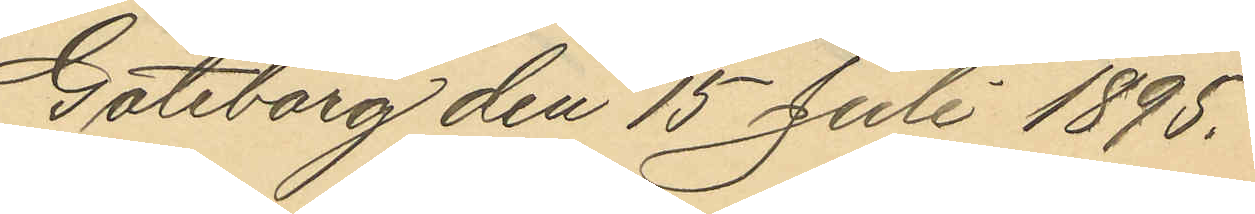Göteborg den 15 Juli 1895.
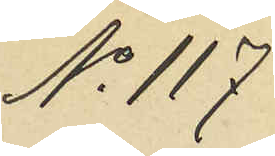No 117
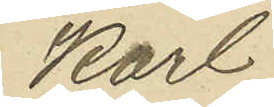Karl
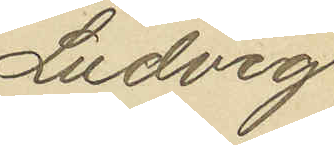Ludvig
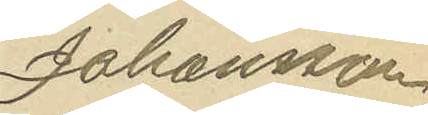Johansson
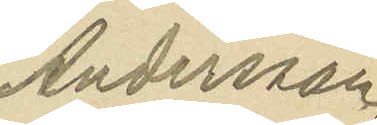Andersson.
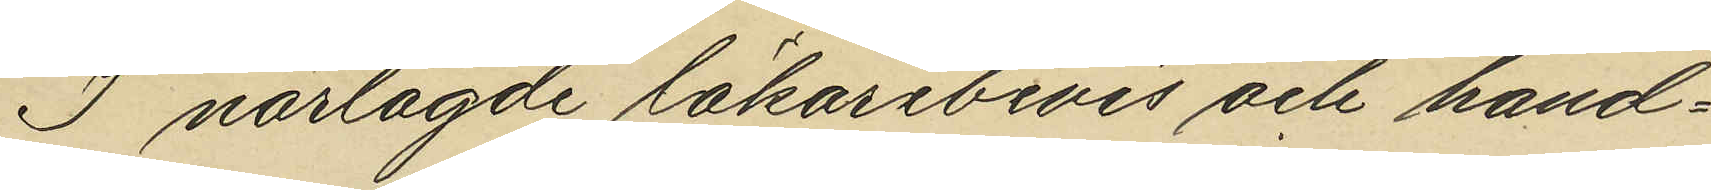I närlagde läkarebevis och hand¬
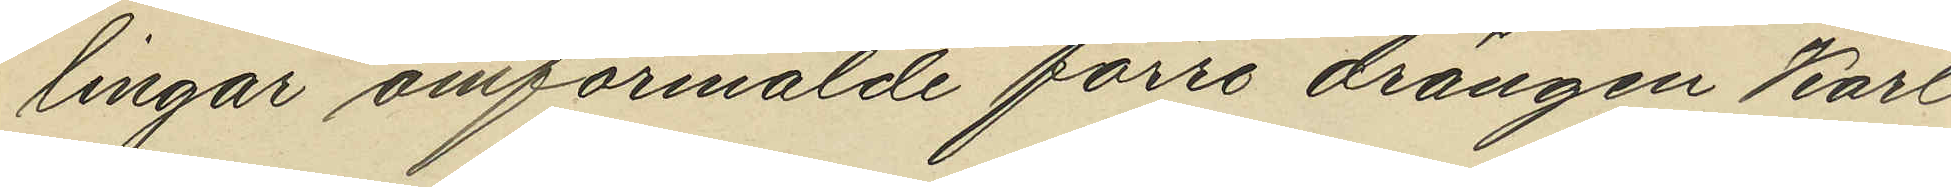lingar omförmälde förre drängen Karl
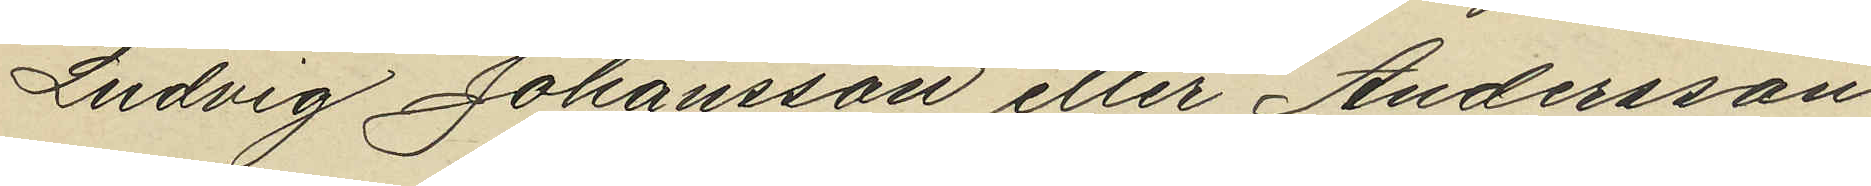Ludvig Johansson eller Andersson
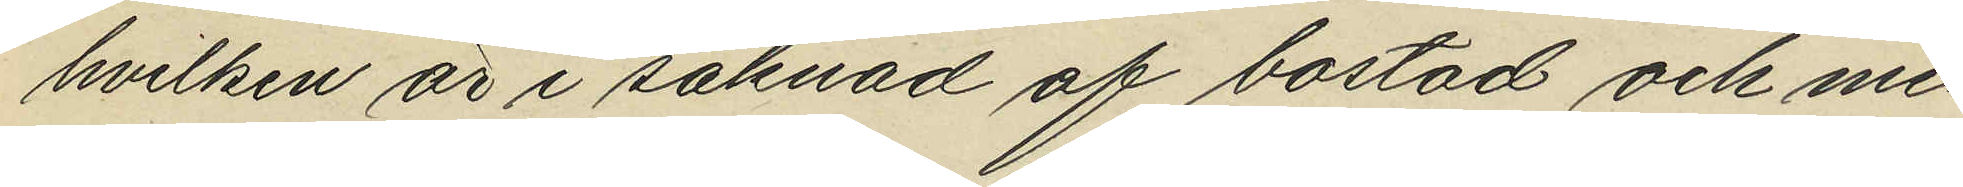hvilken är i saknad af bostad och me¬
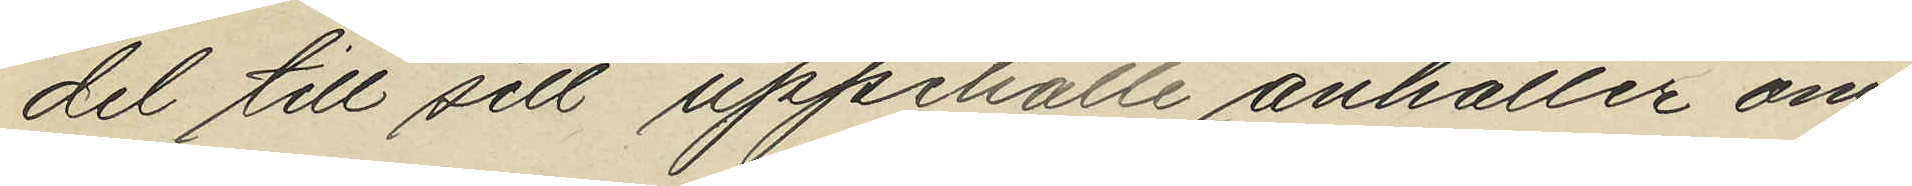del till sitt uppehälle anhåller om
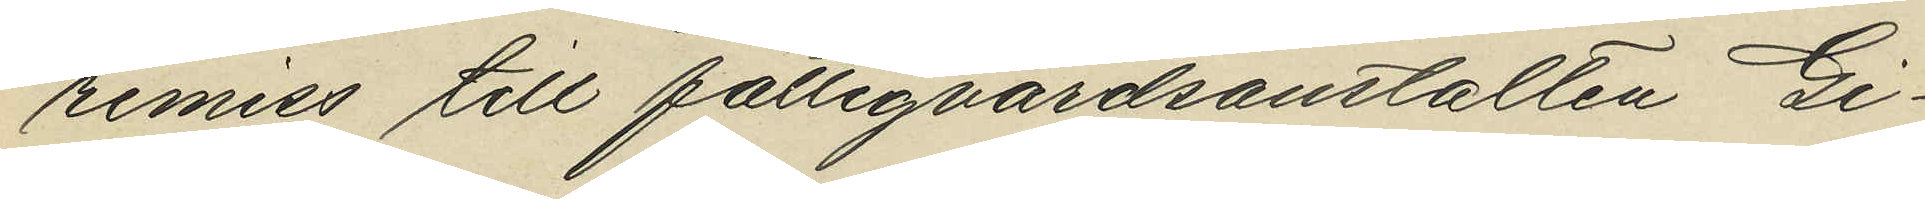remiss till fattigvårdsanstalten Gi¬
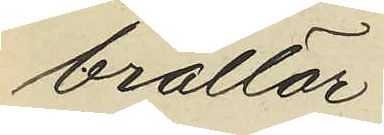braltar.
